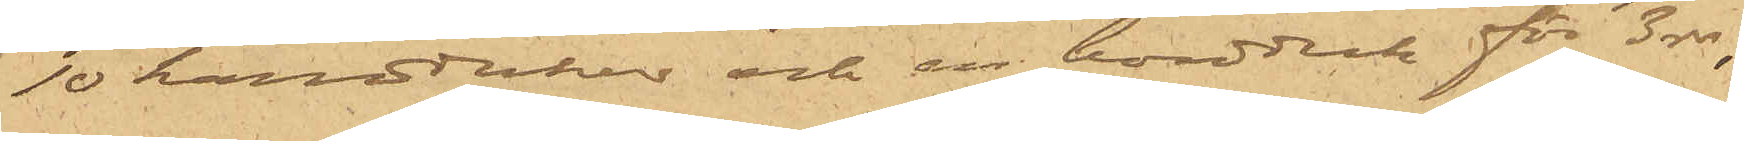10 handdukar och en bordduk för 3 rdr,
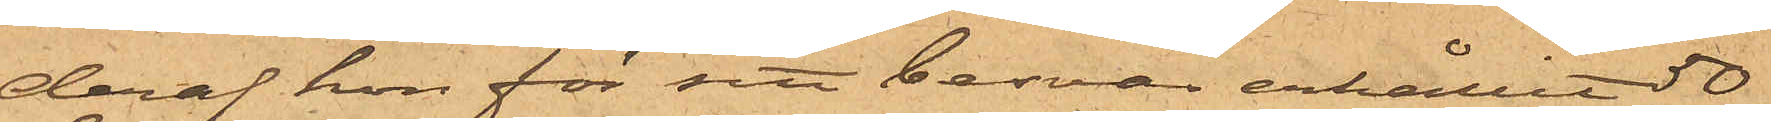deraf hon för sitt besvär erhållit 50
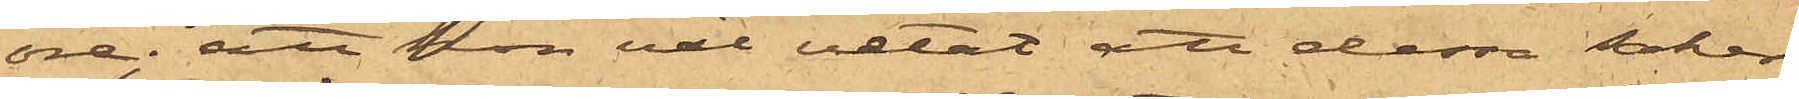öre; att hon väl vetat att dessa saker
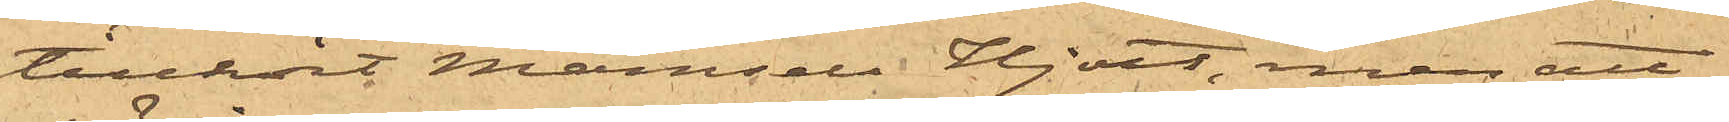tillhört Mamsell Hjort, men att
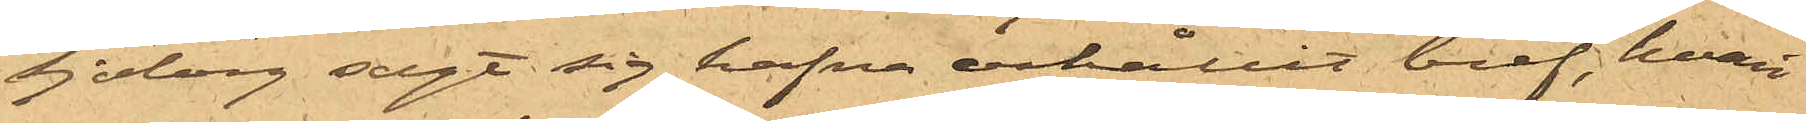Sjöberg sagt sig hafva erhållit bref, hvari
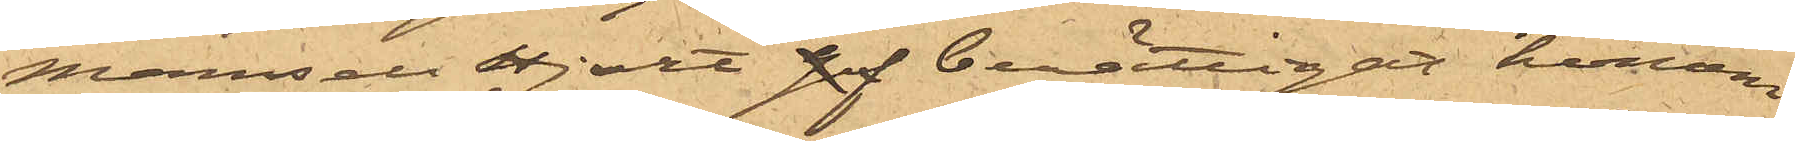Mamsell Hjort gaf berättigat honom
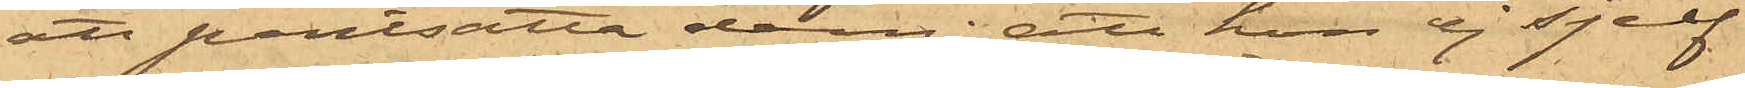att pantsätta dem; att hon ej sjelf
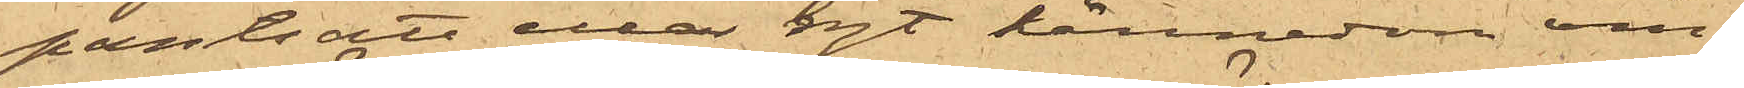pantsatt eller haft kännedom om
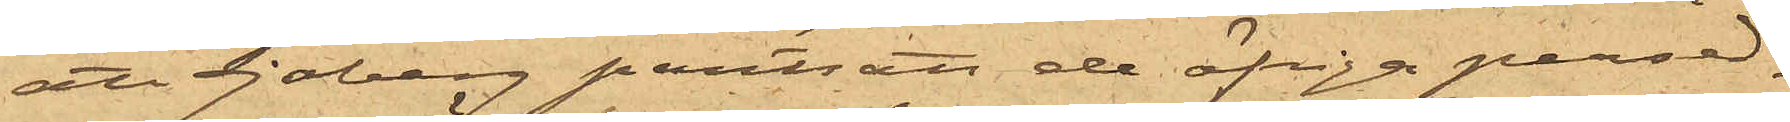att Sjöberg pantsatt de öfriga persed¬
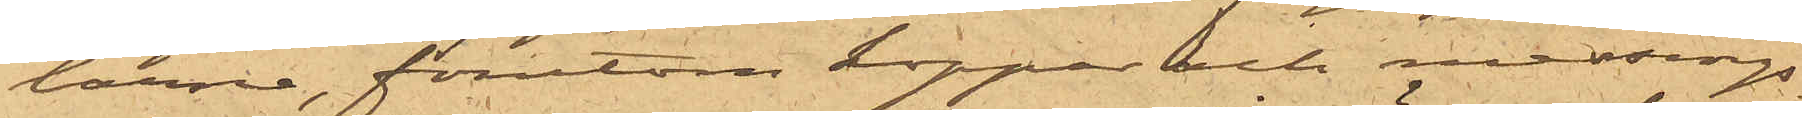larne, förutom koppar och messings¬
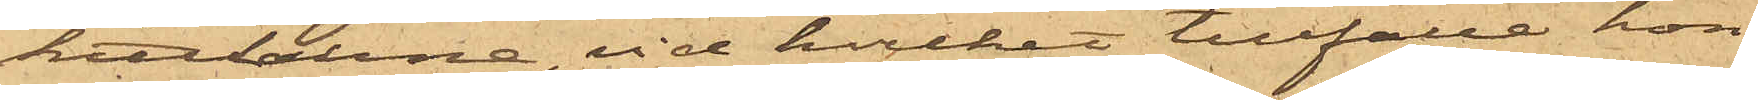kittlarne, vid hvilket tillfälle hon
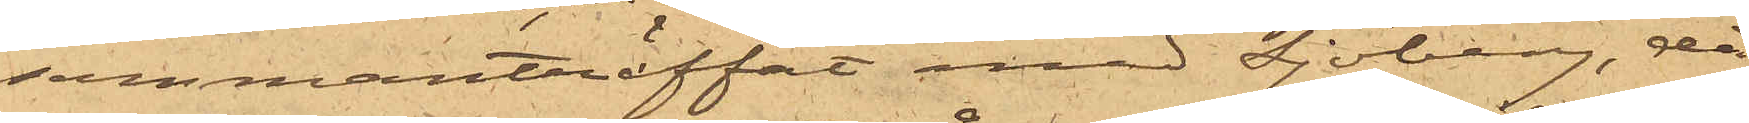sammanträffat med Sjöberg, då
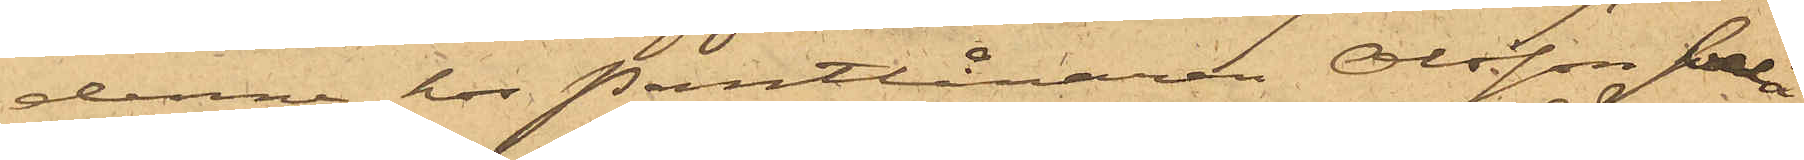denne hos Pantlånaren Olsson belå¬
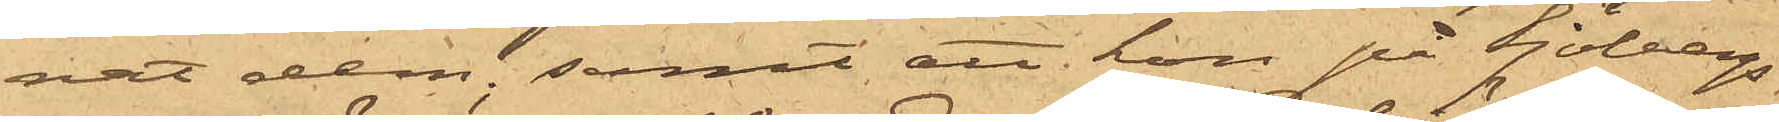nat dem; samt att hon på Sjöbergs
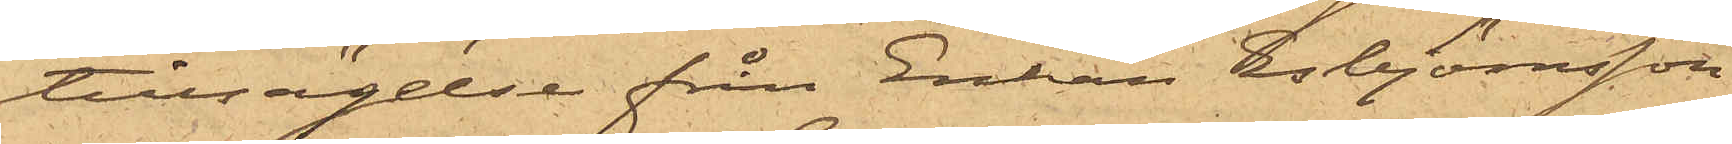tillsägelse från Enkan Esbjömsson
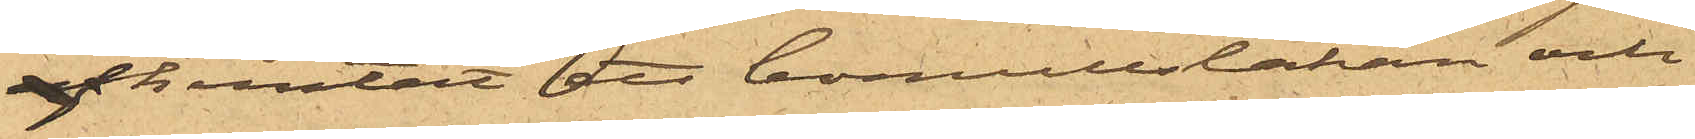af hemtat ett bomullslakan och
